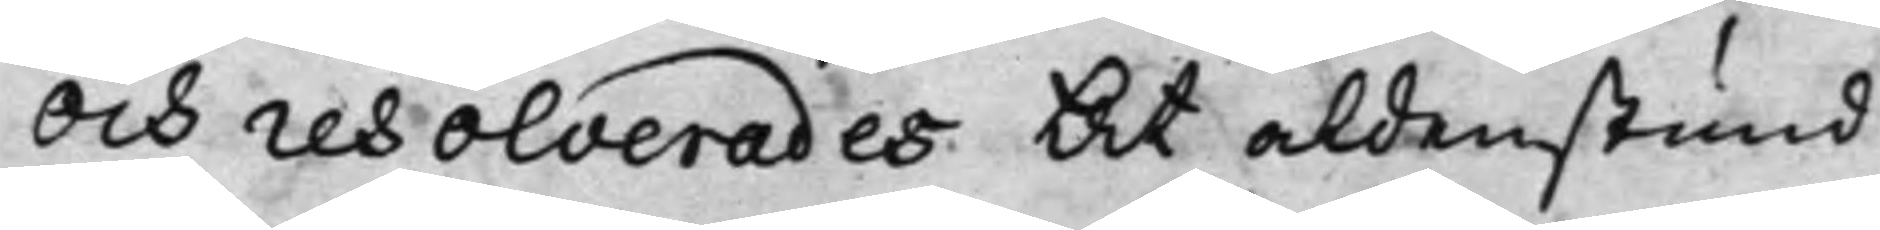Och resolverades At aldenstund
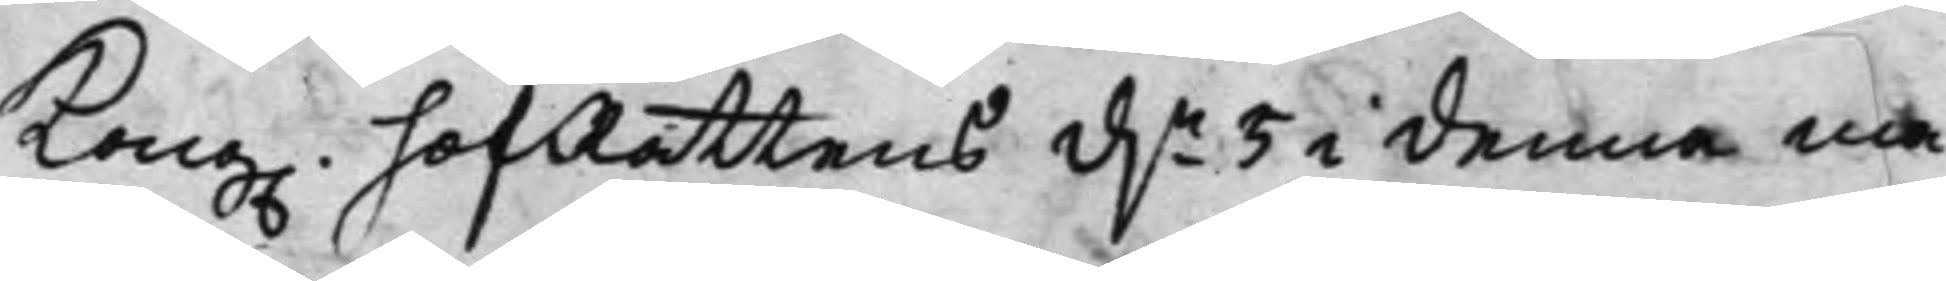Kong. hofRättens d.n 5 i denna må¬
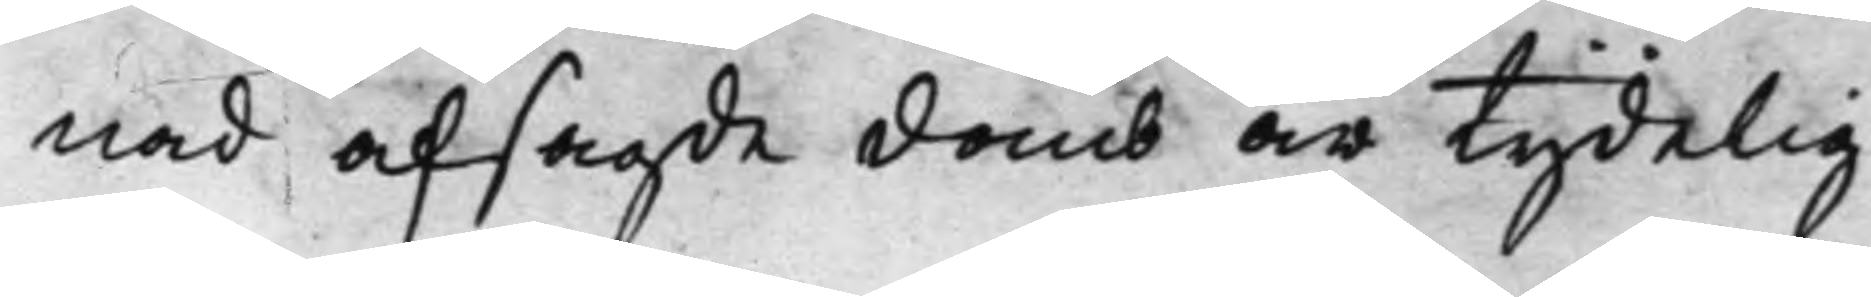nad afsagde domb är tydelig
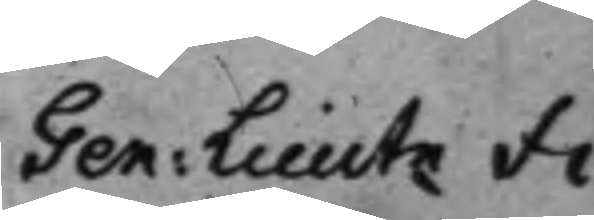Gen: Lieutn Fi¬
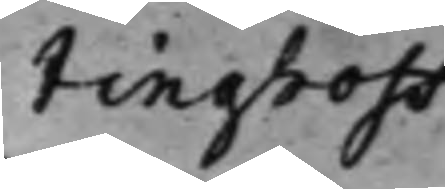tinghoff
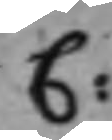C:
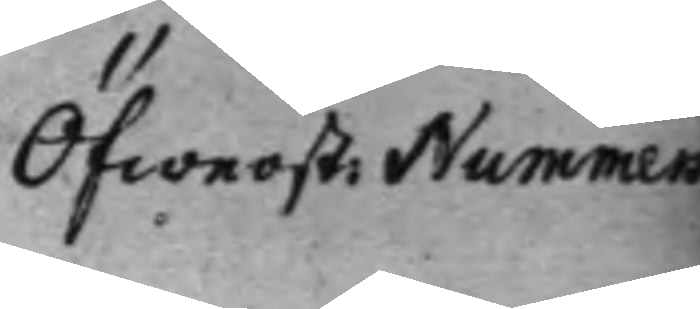Öfwerst: Nummers
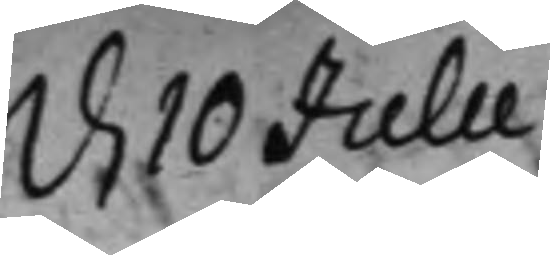d. 10 Julii.
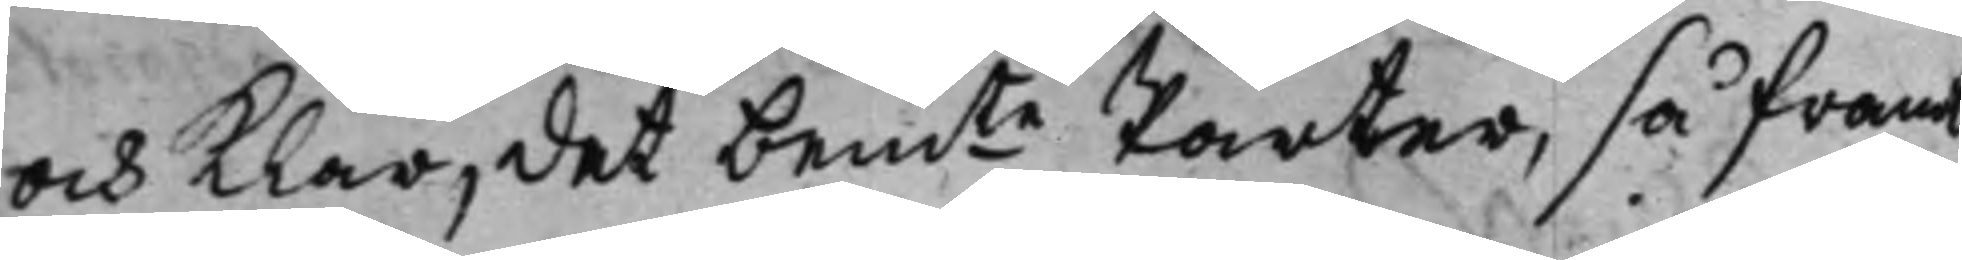och klar, det bemte Parter, så framt
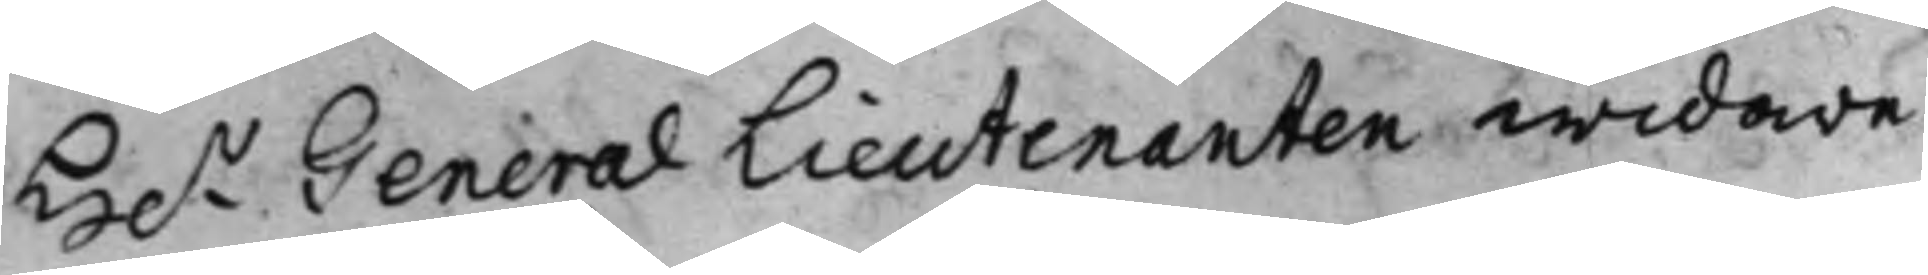H.r General Lieutenanten widare
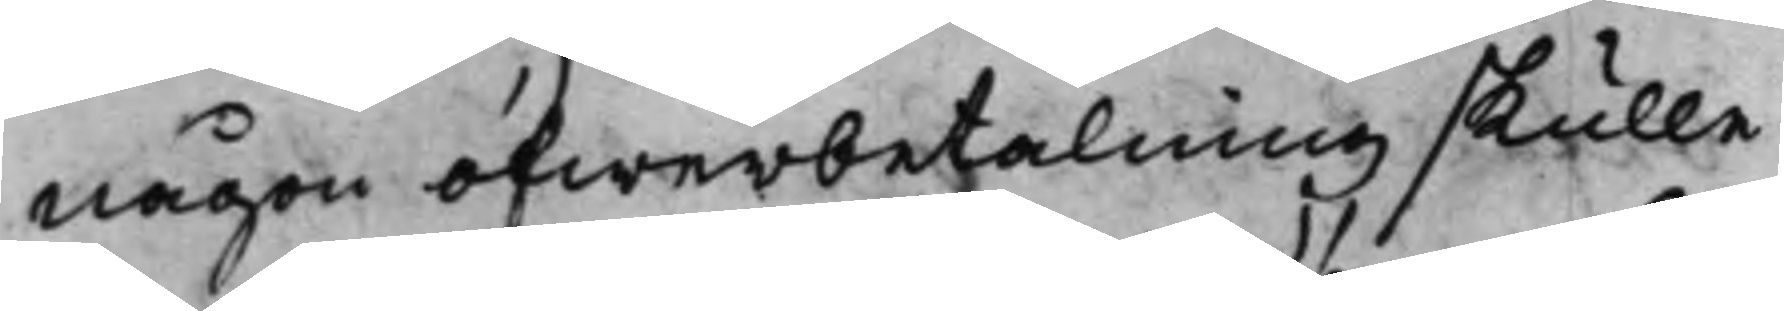någon öfwerbetalning skulle
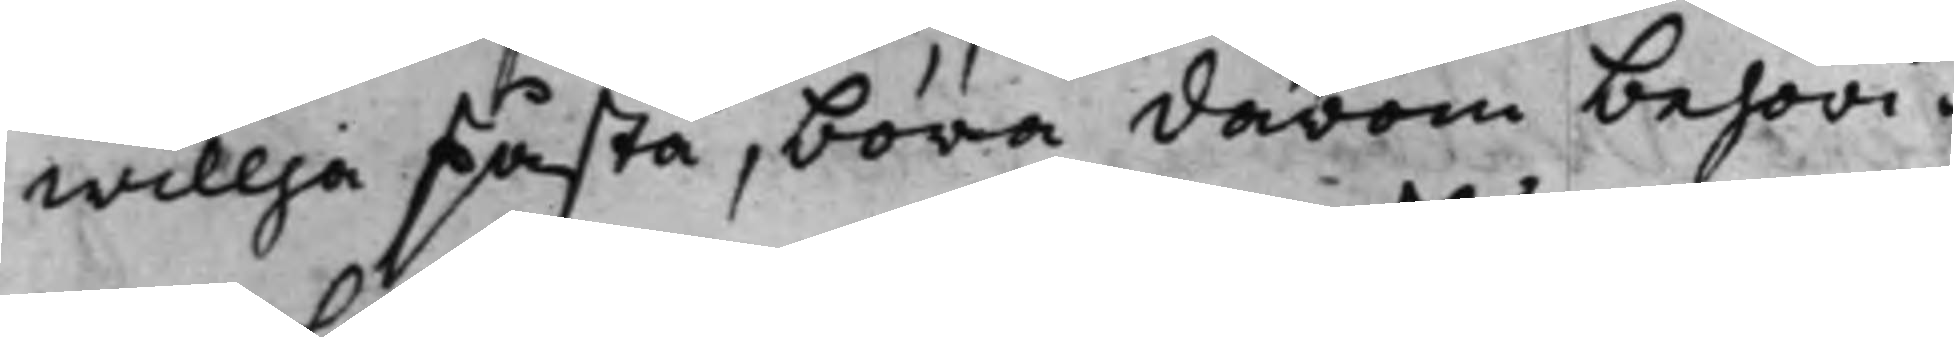willja påstå, böra därom behöri¬
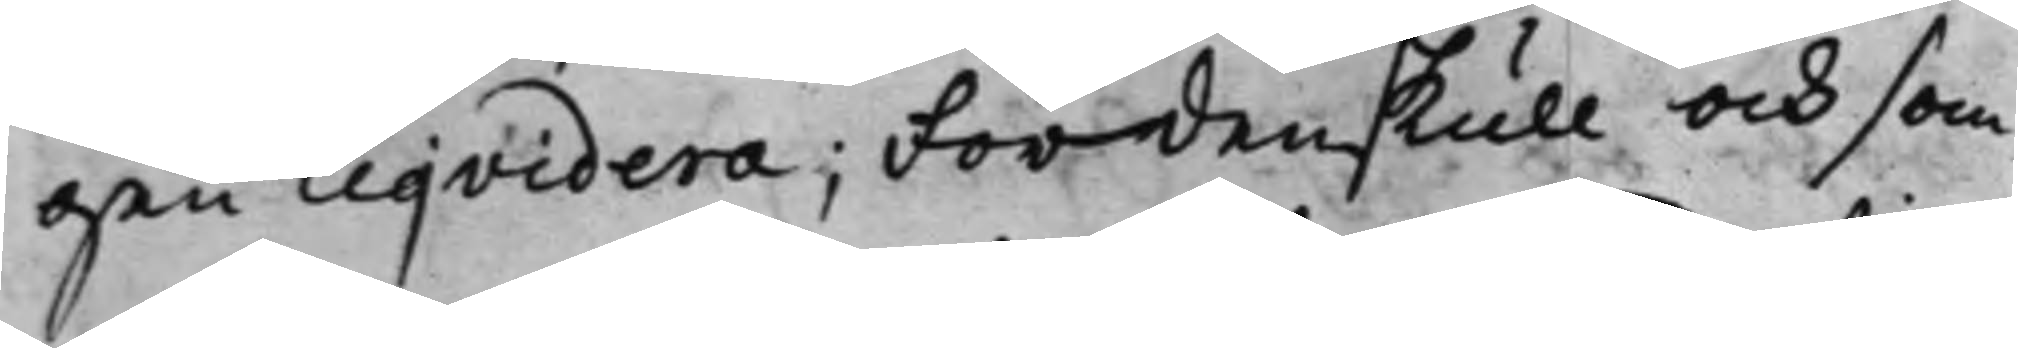gen Liqvidera; Fördenskull och som
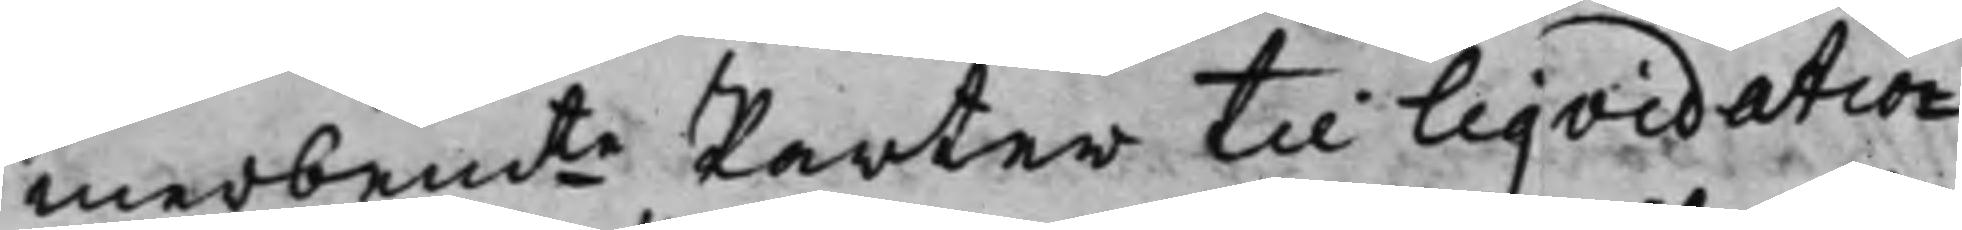merbemte Parter til Liqvidatio¬
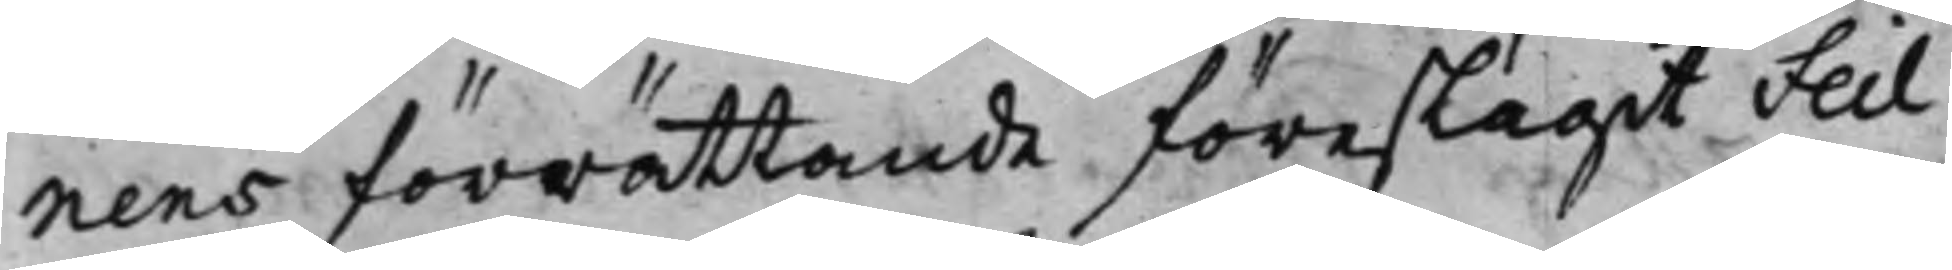nens förrättande föreslagit Feil
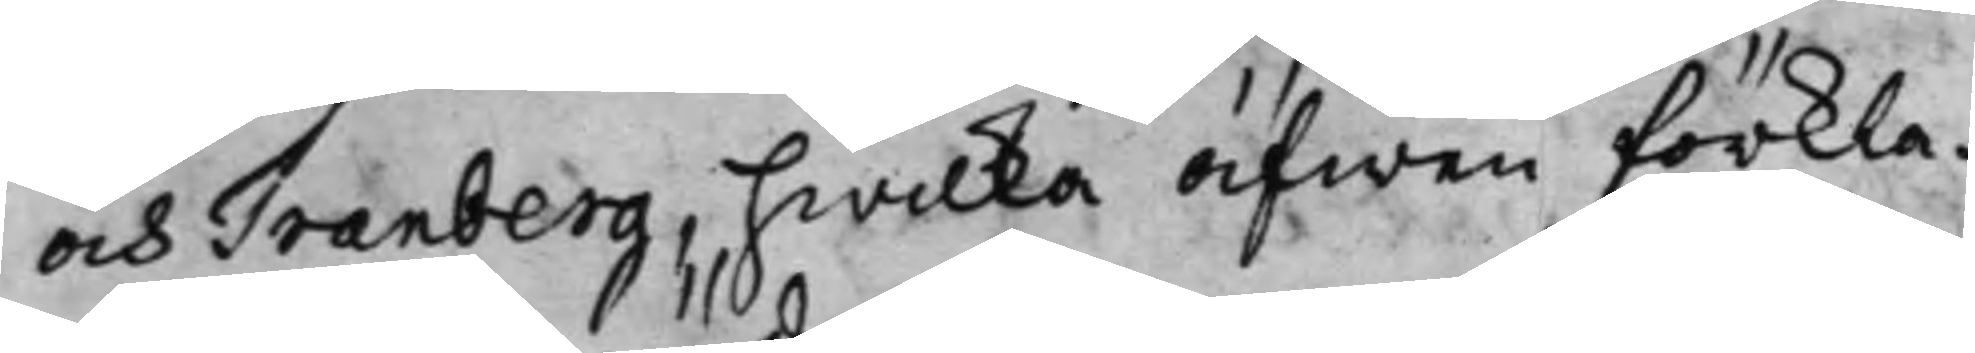och Tranberg, hwilka äfwen förkla¬
